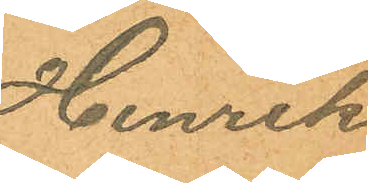Henrik
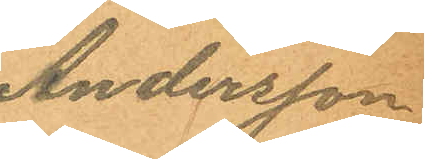Andersson
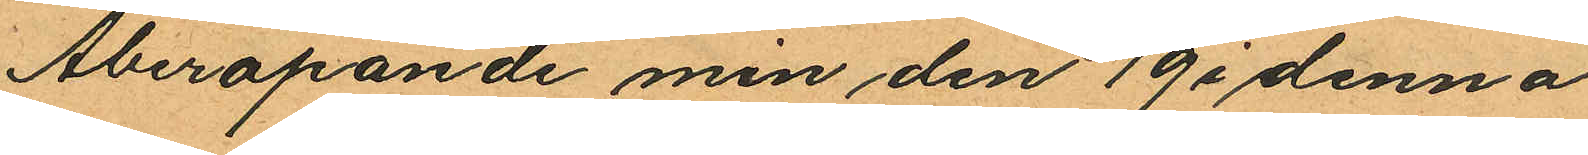Åberopande min den 19 i denna
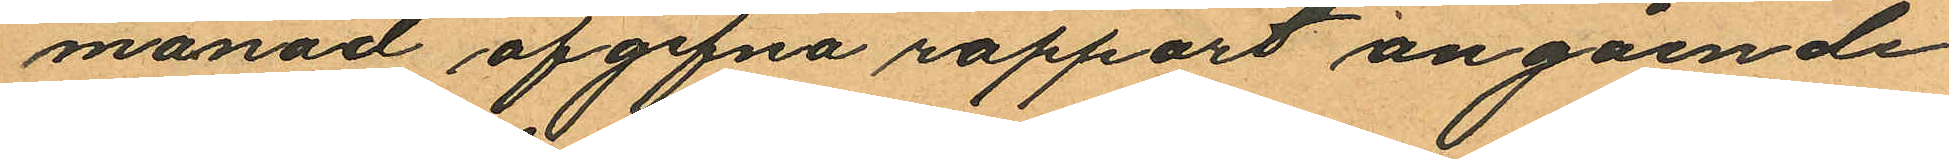månad afgifna rapport angående
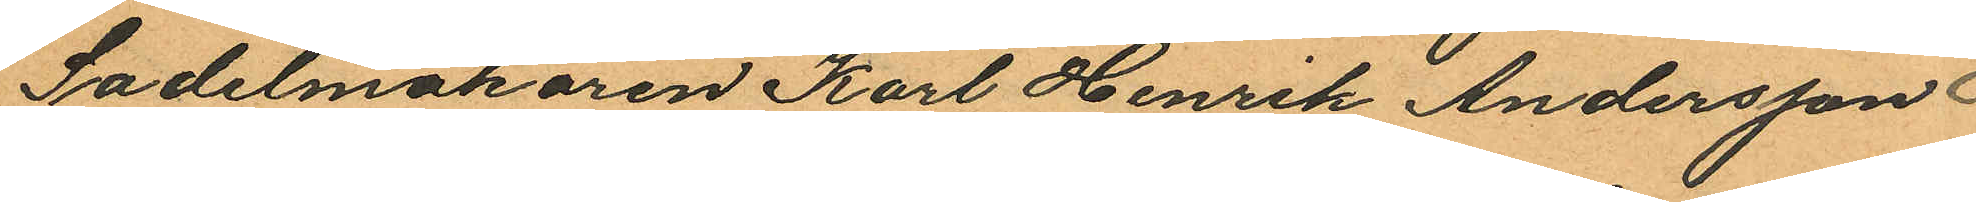Sadelmakaren Karl Henrik Andersson
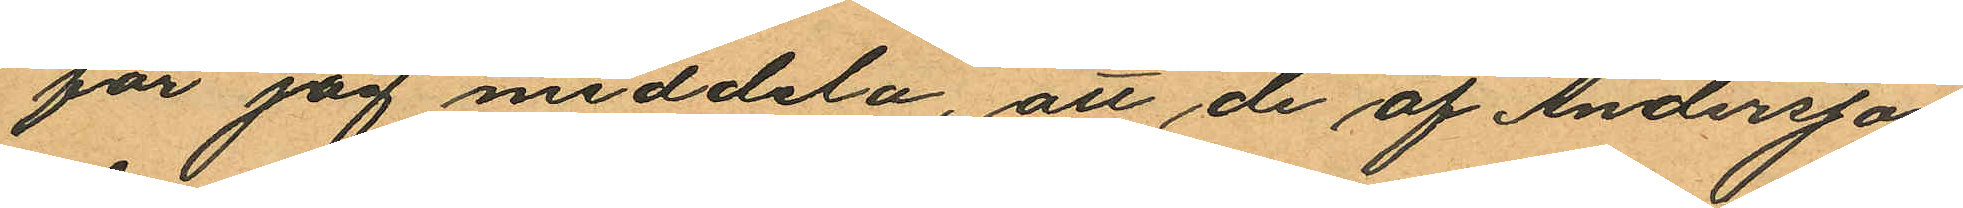får jag meddela, att de af Andersson
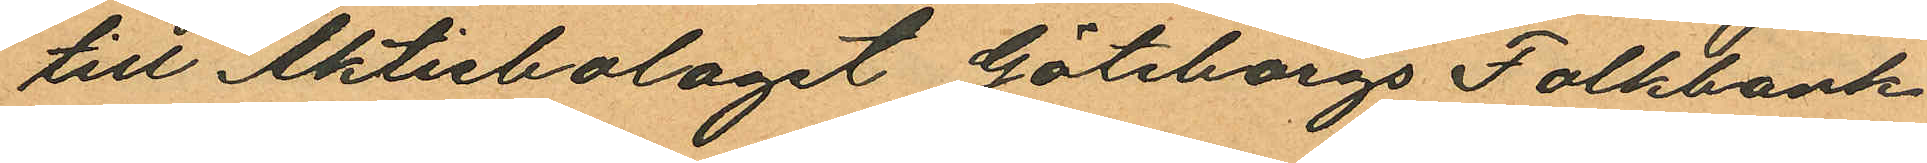till Aktiebolaget Göteborgs Folkbank
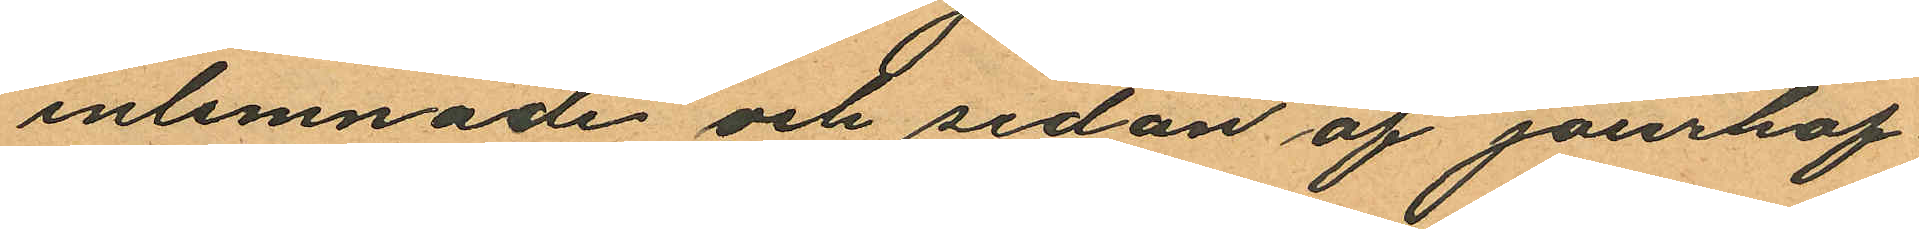inlemnade och sedan af jourhaf¬
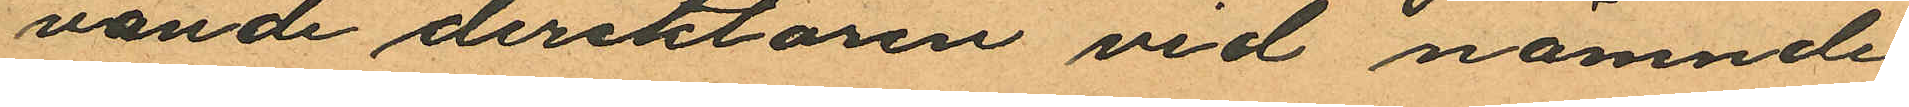vande direktören vid nämnde
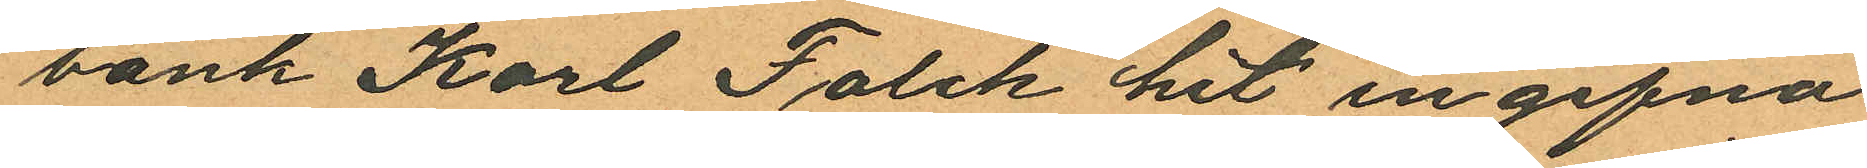bank Karl Falck hit ingifna
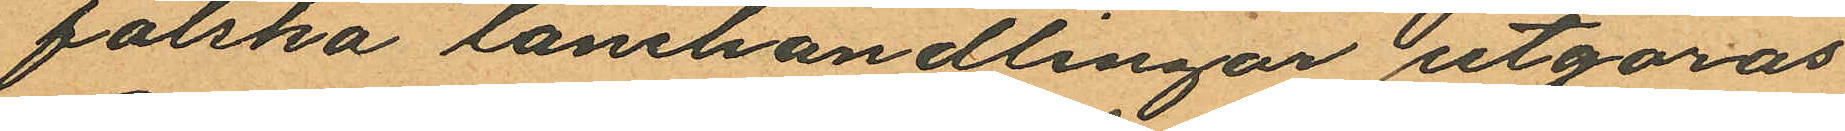falska lånehandlingar utgöras.
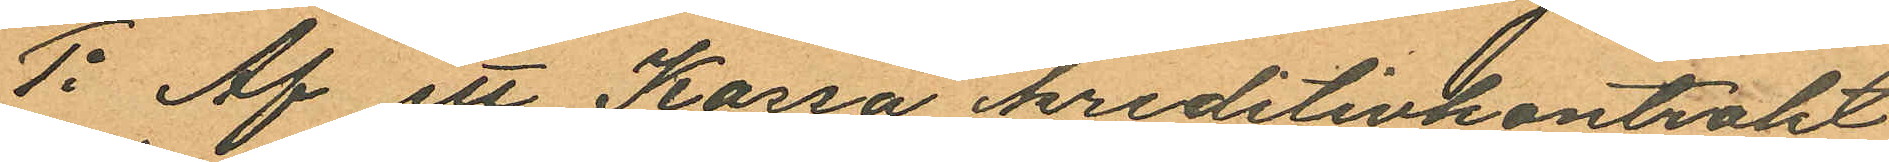1o Af ett Kassa kreditivkontrakt
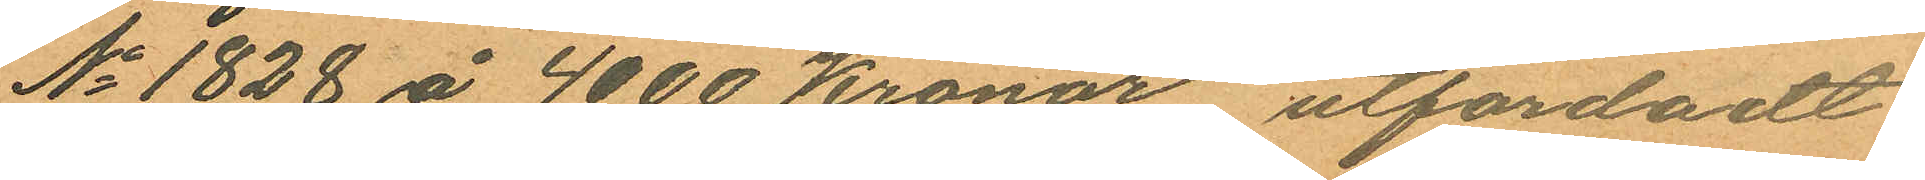No 1828 å 4000 Kronor, utfärdadt
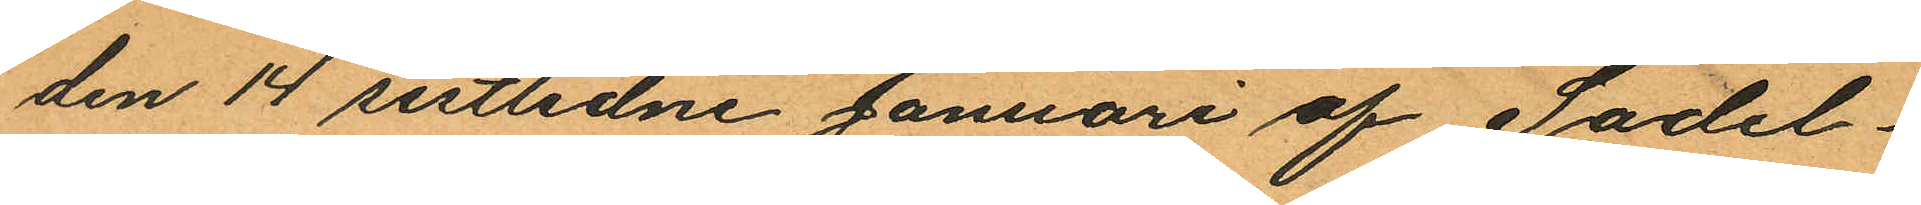den 14 sistlidne Januari af Sadel¬
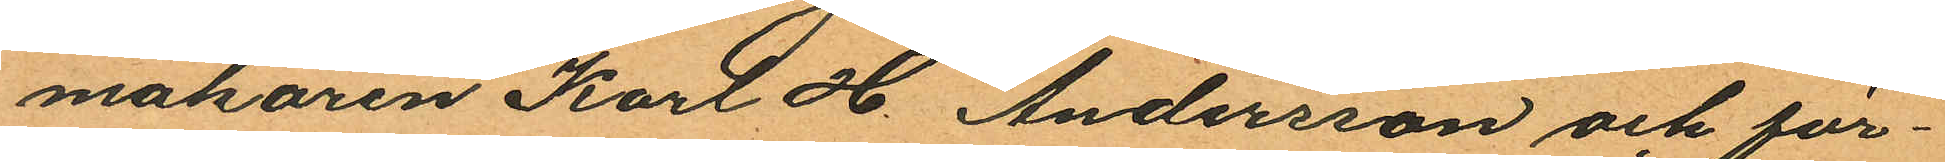makaren Karl H Andersson och för¬
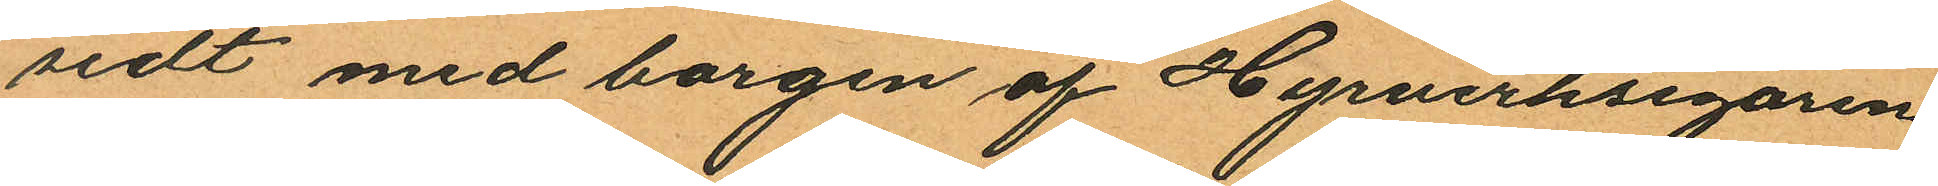sedt med borgen af Hyrverksegaren
